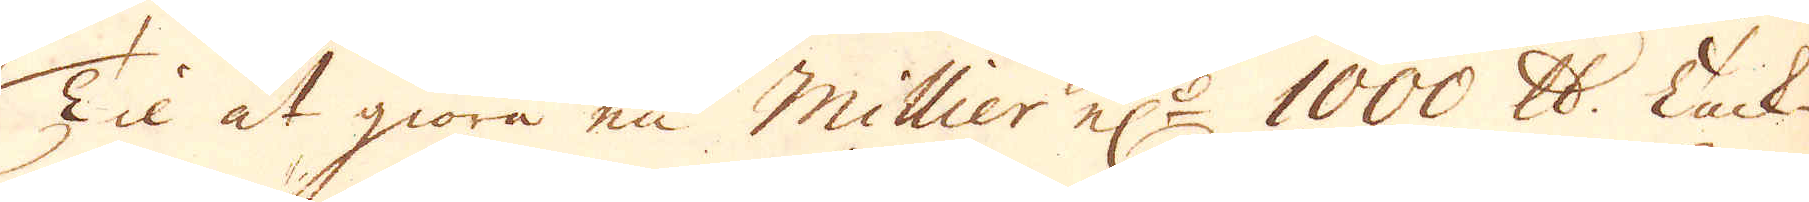Til at giöra en Millier el:r 1000 skålpund. Tack-
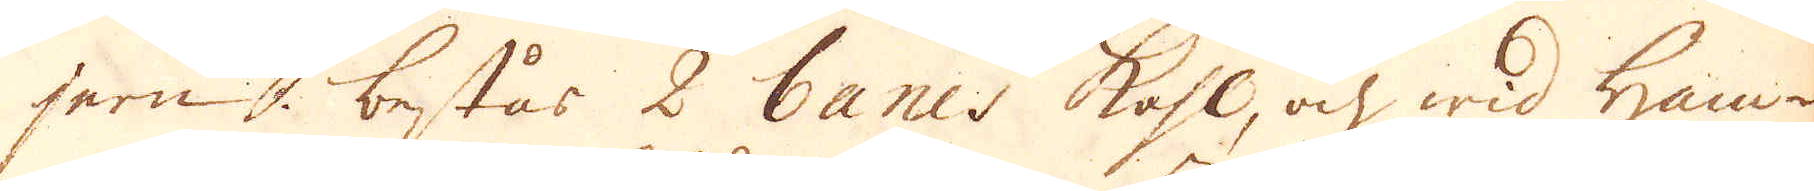jern, består 2 banes kohl, och wid ham-
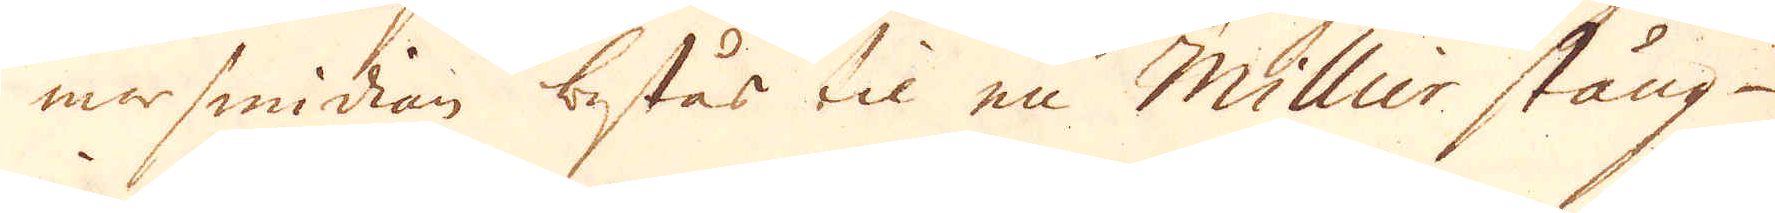marsmidian består til en Millier stång-
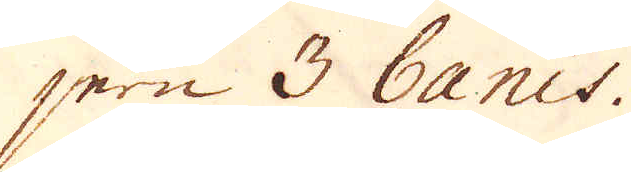jern 3 banes.
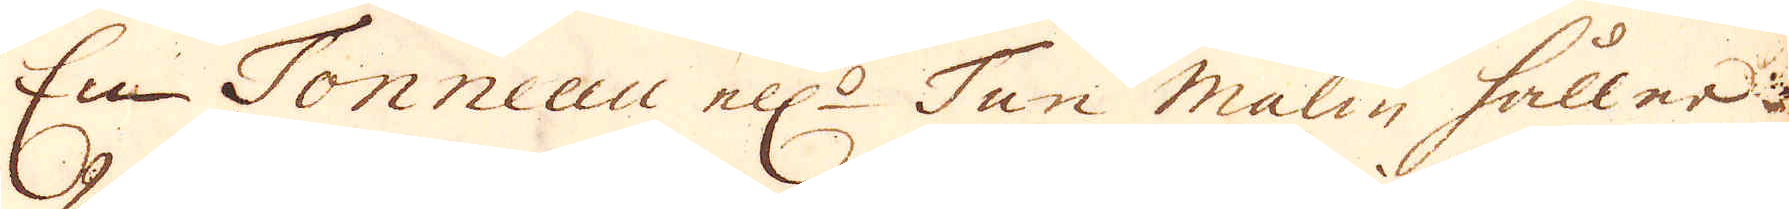En Tonneau ell:r Ten malm håller
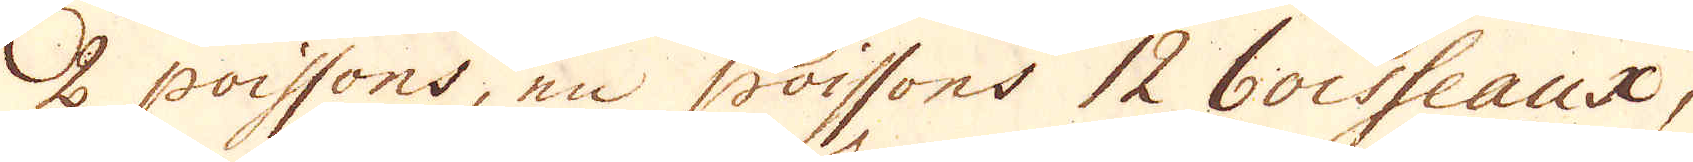2 poissons, en poissons 12 boisseaux.
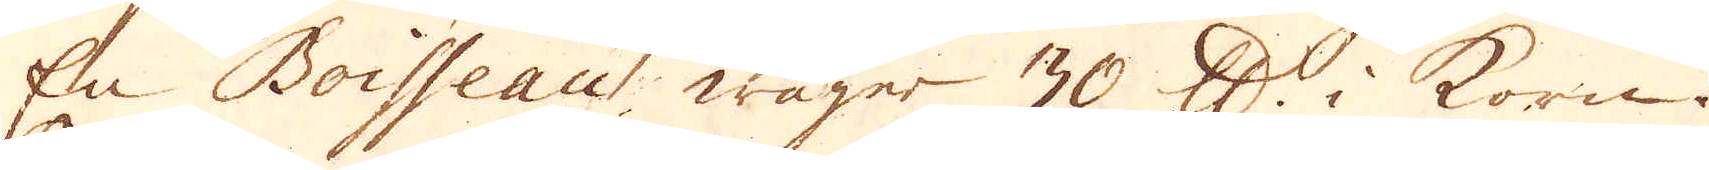En Boisseau wäger 30 skålpund i korn.
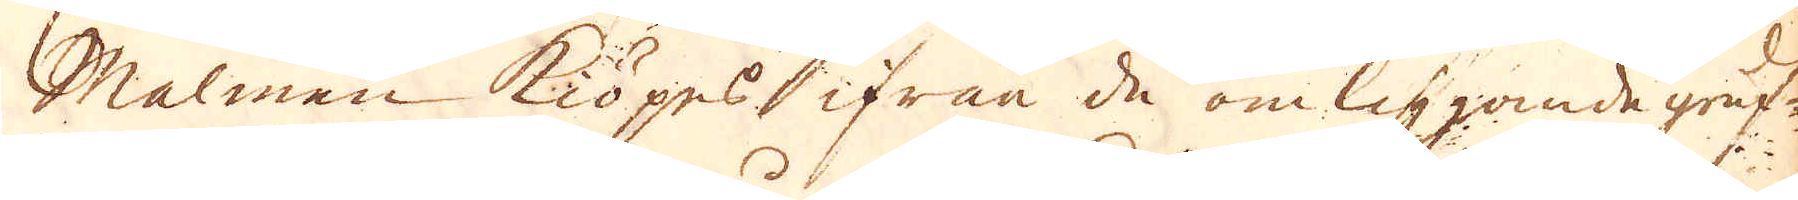Malmen kiöpes ifrån de omliggande gruf-
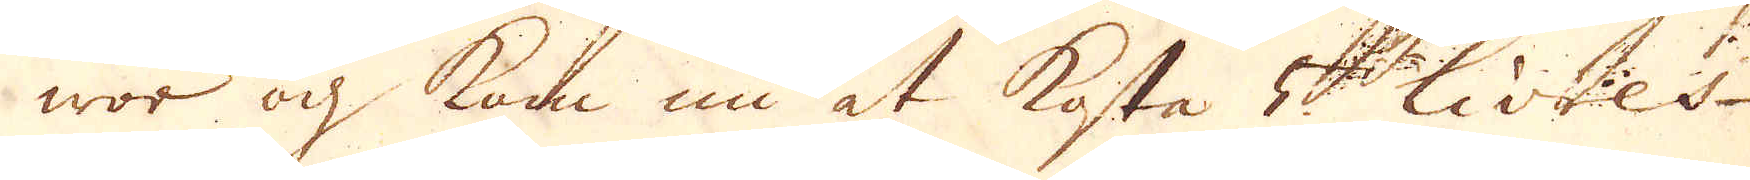wor och kom nu at kosta 5 Livres,
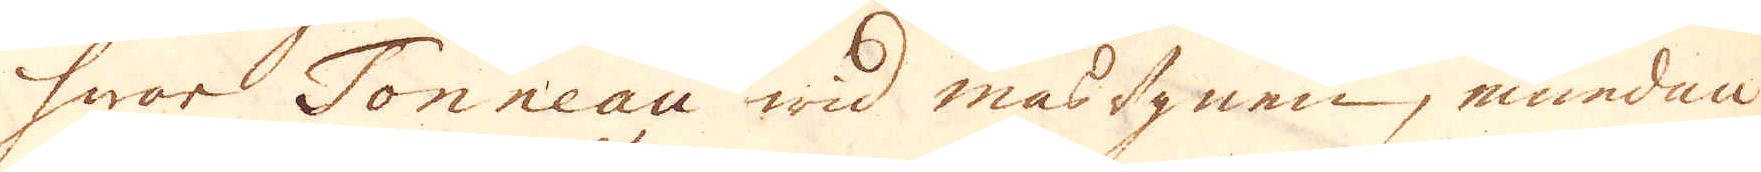hwar Tonneau wid masugnen, emedan
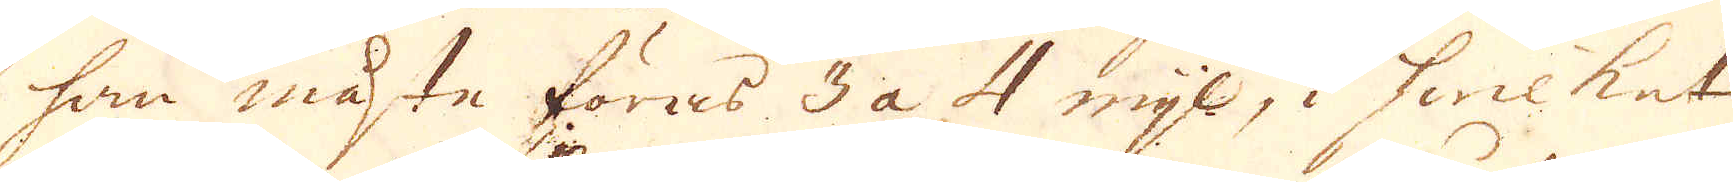han måste föras 3 a 4 mijl, i hwilket
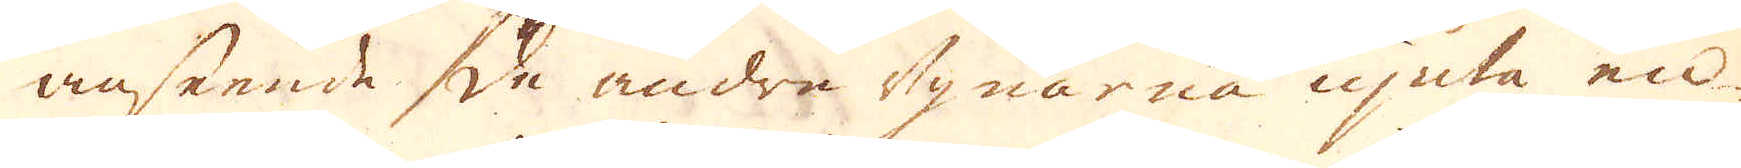anseende de andra ugnarna njuta en
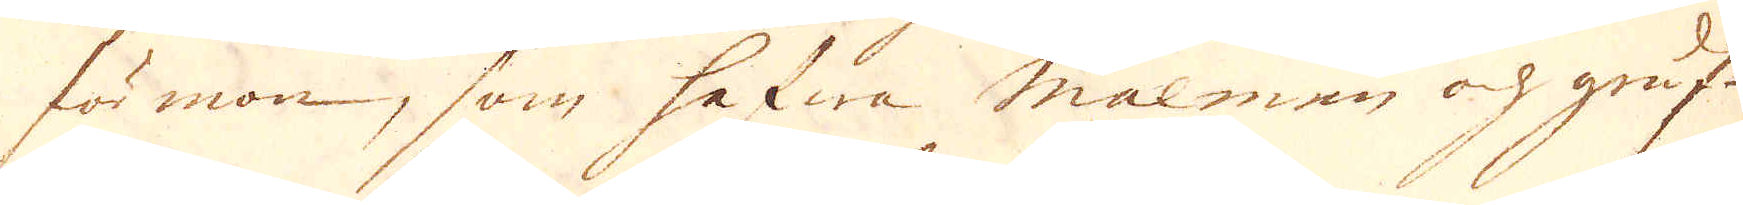förmon, som hafwa malmen och gruf-
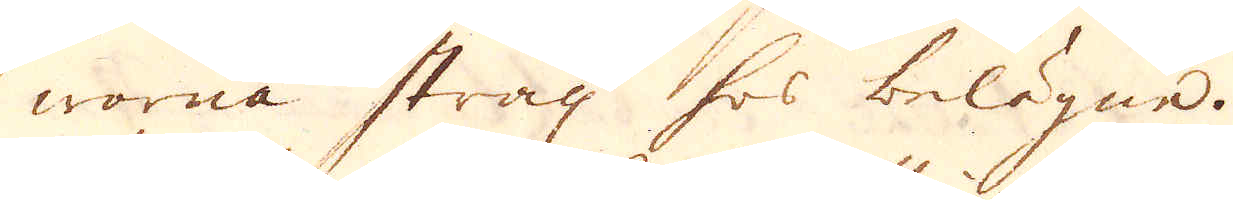worna strax hos belögne.
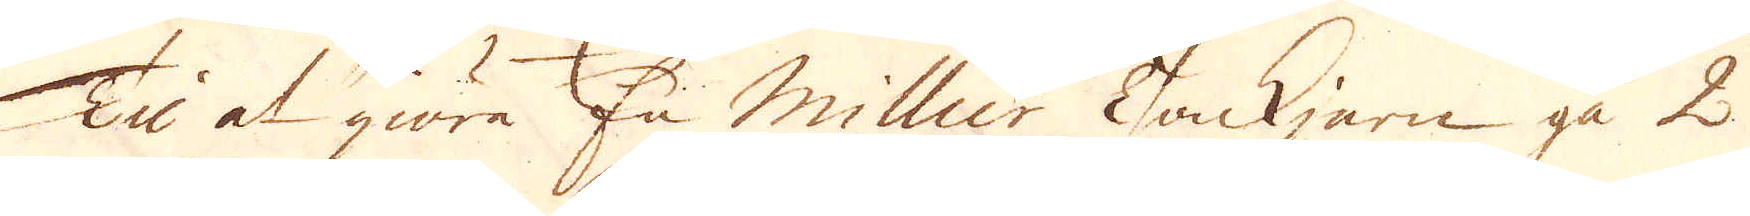Till at giöra En Millier Tackjern gå 2
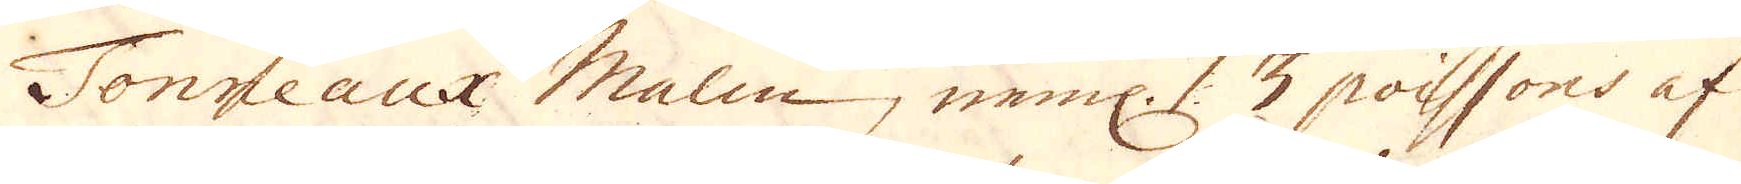Tonneaux Malm, neml: 3 poissons af
